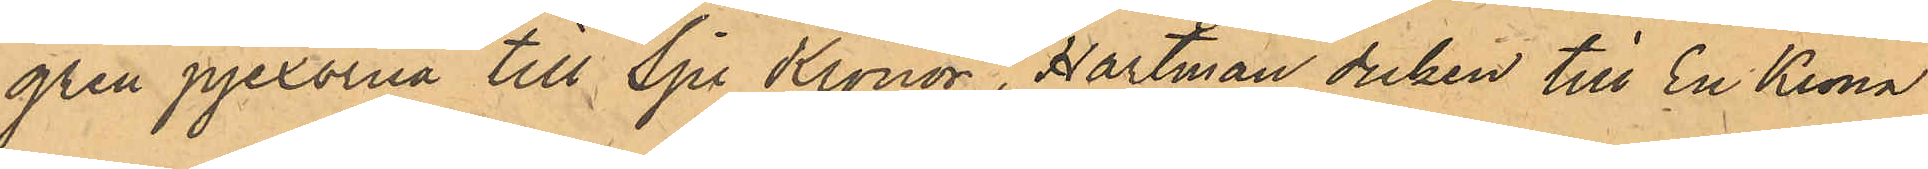gren pjexorna till Sju Kronor, Hartman duken till En Krona
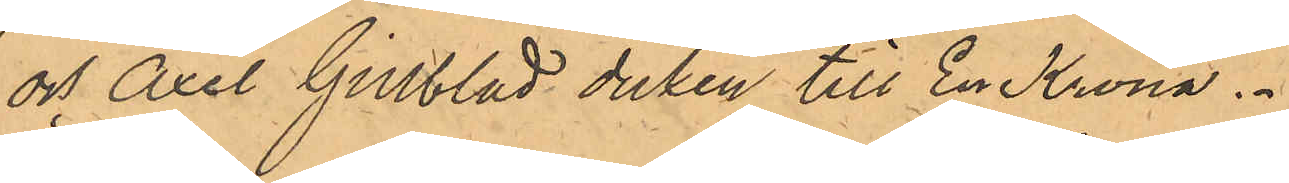och Axel Gillblad duken till En Krona.
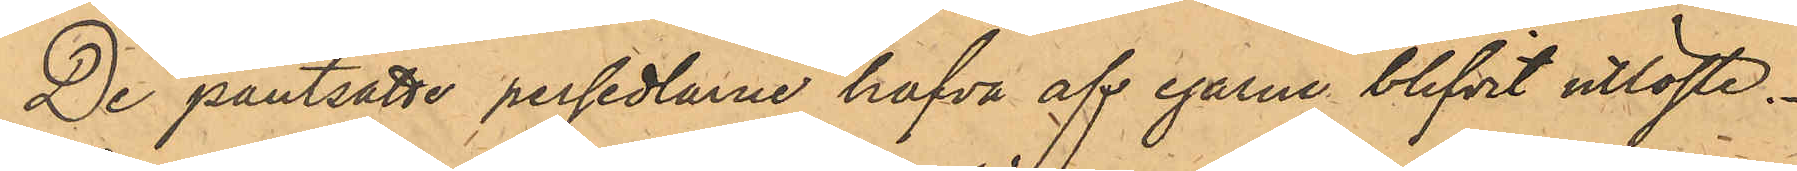De pantsatte persedlarne hafva af egarne blifvit utlöste.
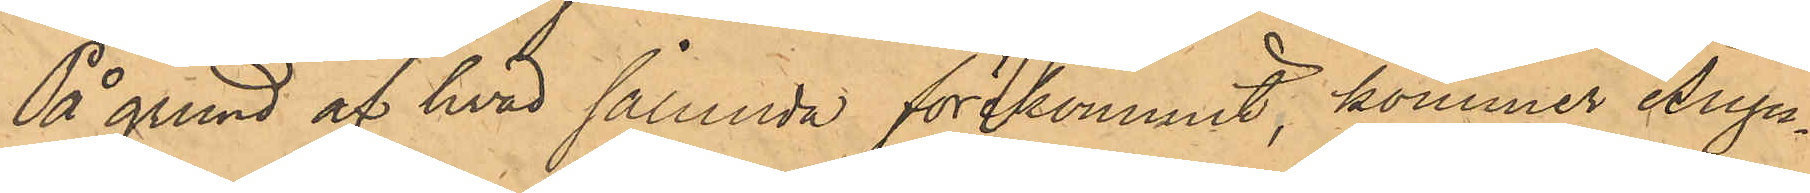På grund af hvad sålunda förekommit, kommer Augu¬
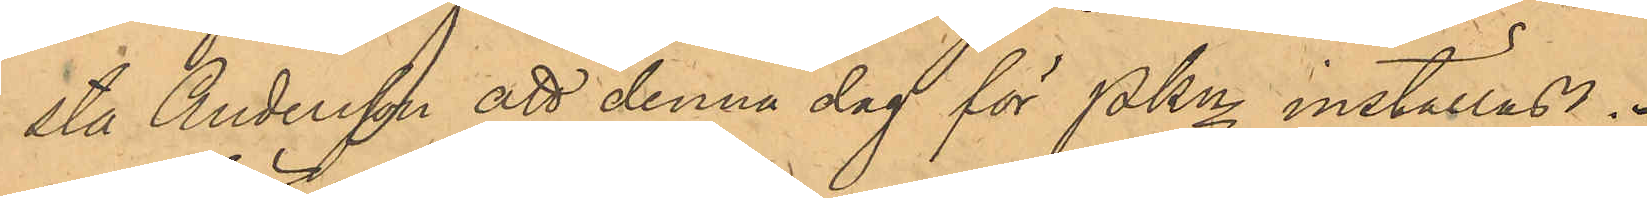sta Andersson att denna dag för PKn inställas.
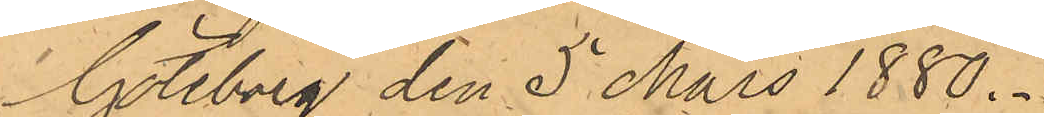Göteborg den 5 Mars 1880.
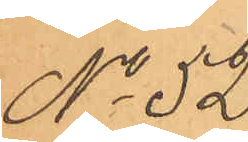No 52.
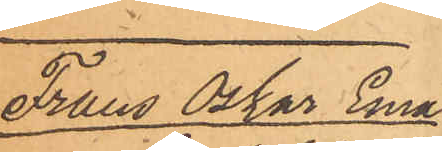Frans Oskar Ema¬
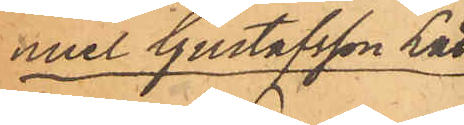nuel Gustafsson Lätt.
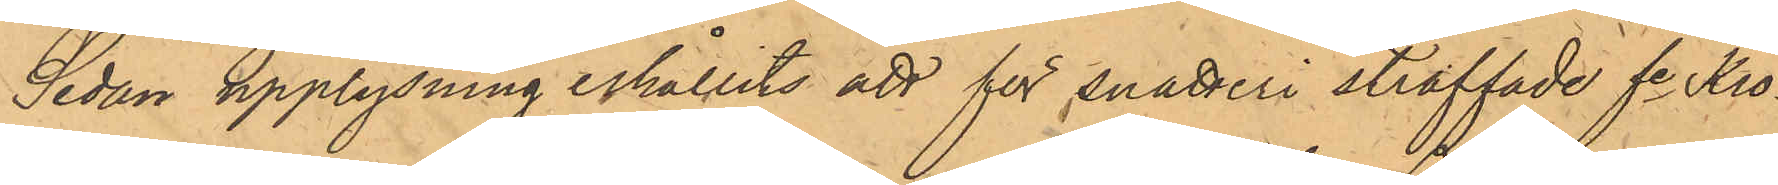Sedan upplysning erhållit att för snatteri straffade fe Kro¬
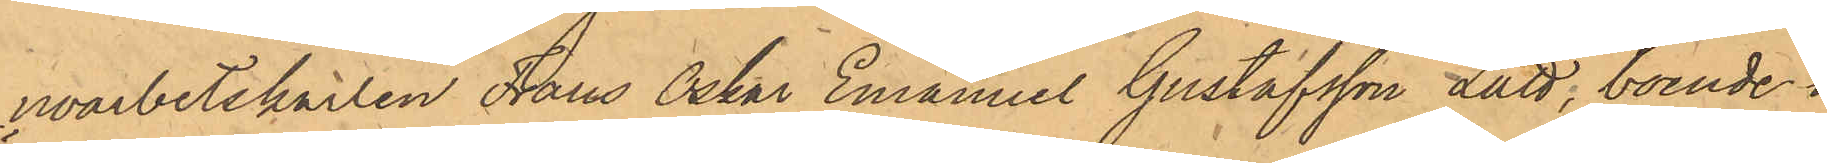noarbetskarlen Frans Oskar Emanuel Gustafsson Lätt, boende i
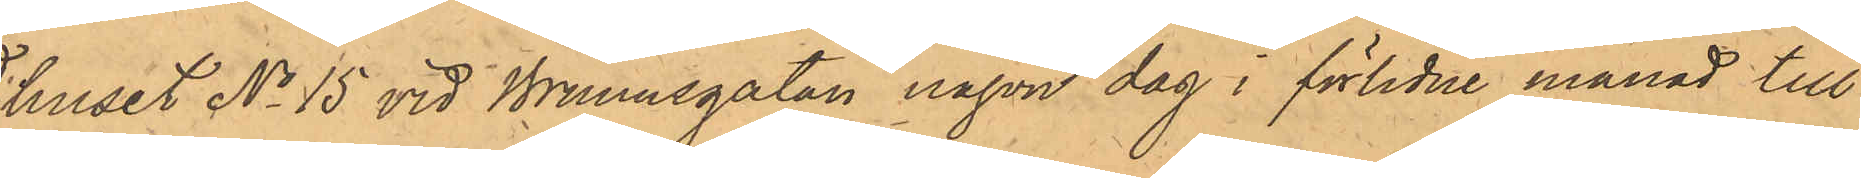huset No 15 vid Brunnsgatan någon dag i förlidne månad till
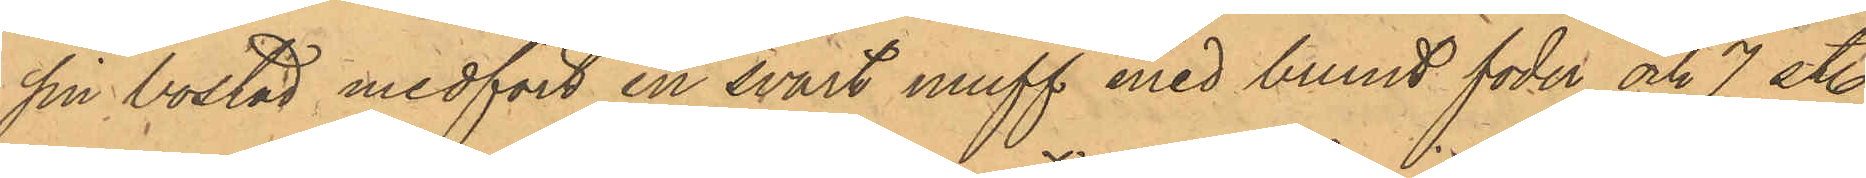sin bostad medfört en svart muff med brunt foder och 7 st.
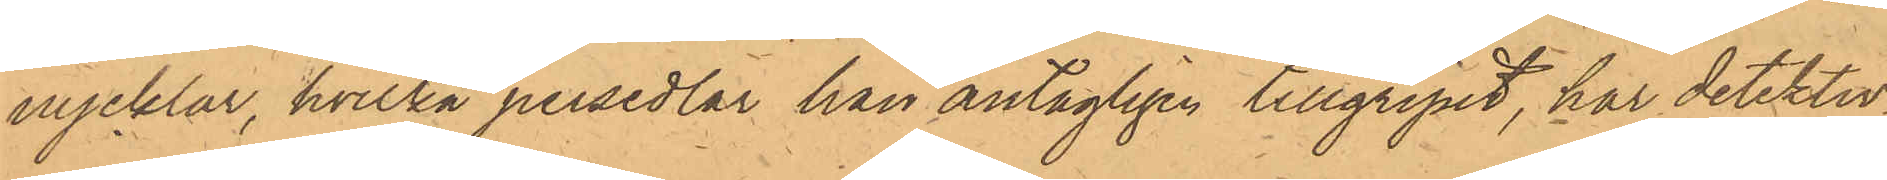nycklar, hvilka persedlar han antagligen tillgripit, har detektiv¬
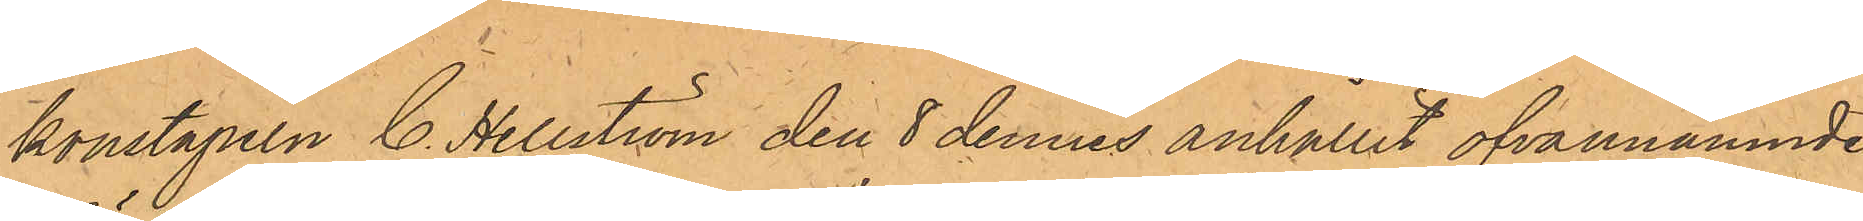konstapeln C. Hellström den 8 dennes anhållit ofvannämnde
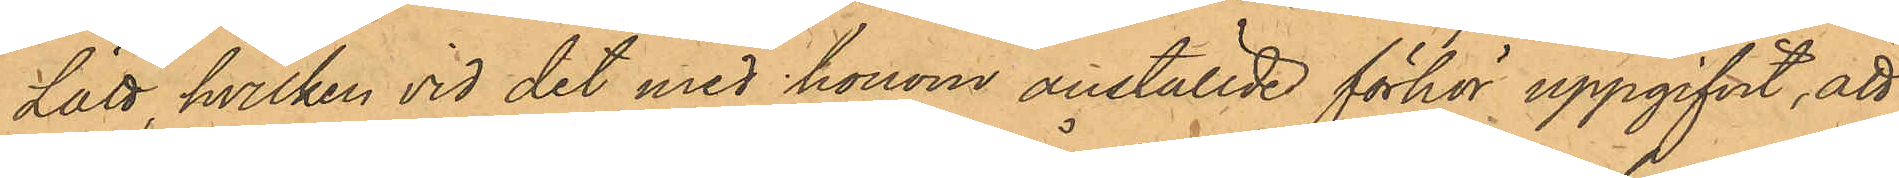Lätt, hvilken vid det med honom anställde förhör uppgifvit, att
